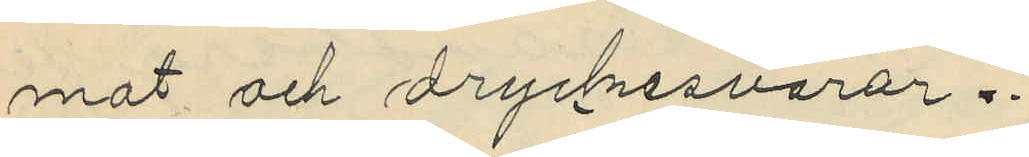mat och dryckesvaror.
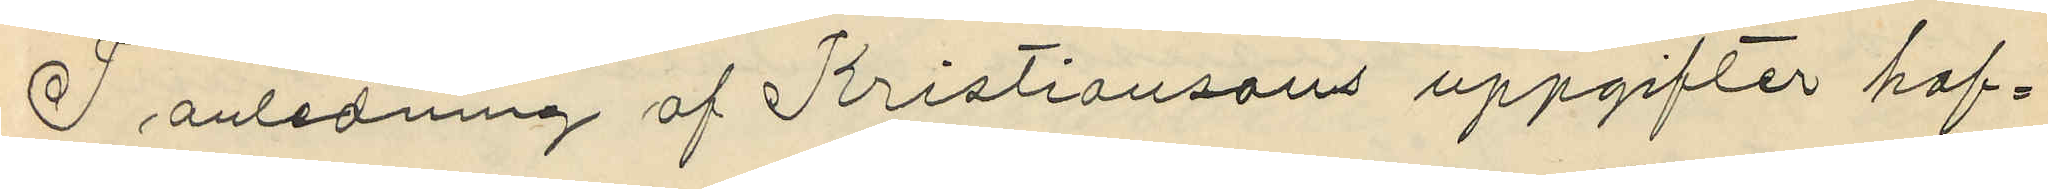I anledning af Kristiansons uppgifter haf¬
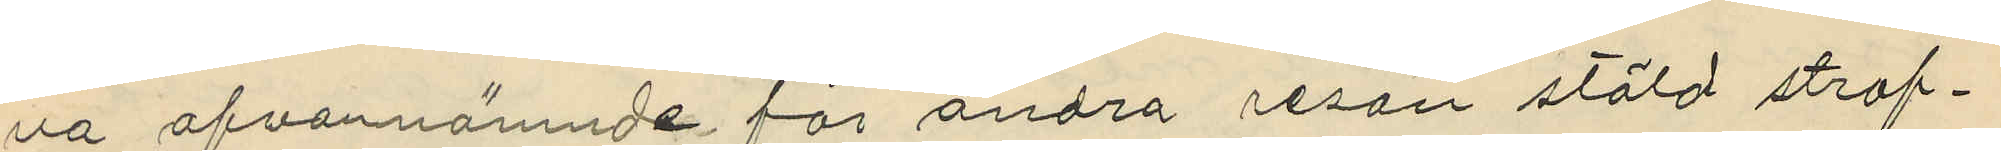va ofvannämnde för andra resan stöld straf¬
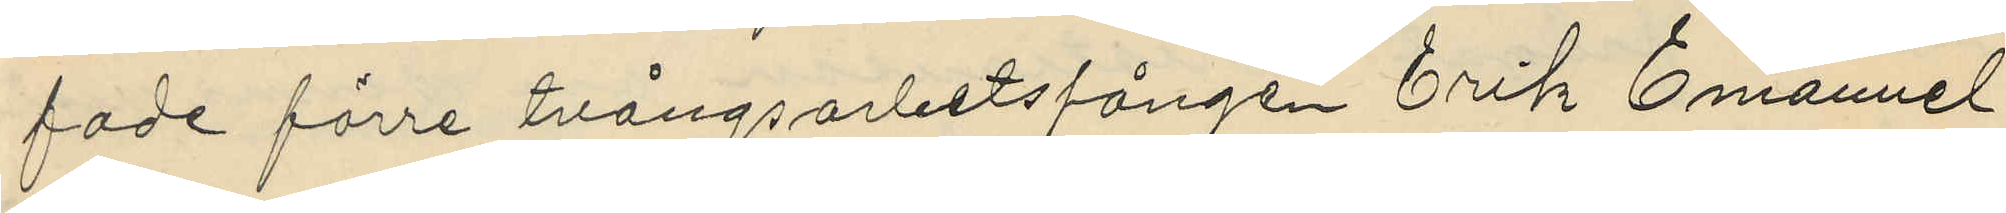fade förre tvångsarbetsfången Erik Emanuel
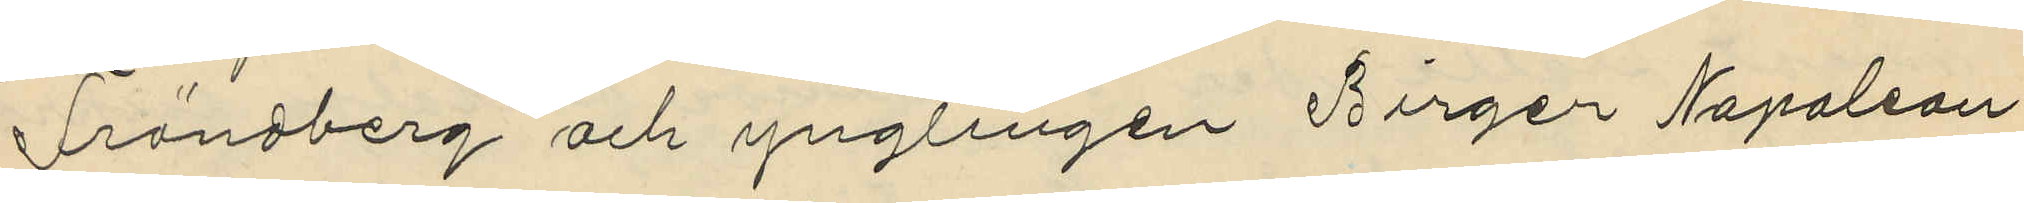Frändberg och ynglingen Birger Napoleon
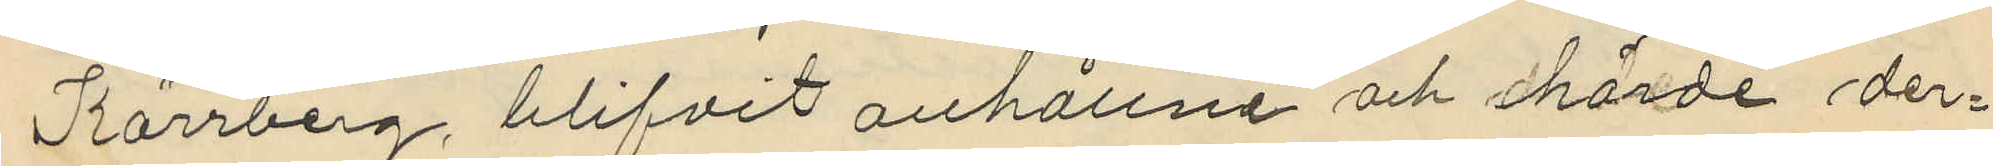Kärrberg, blifvit anhållna och hörde der¬
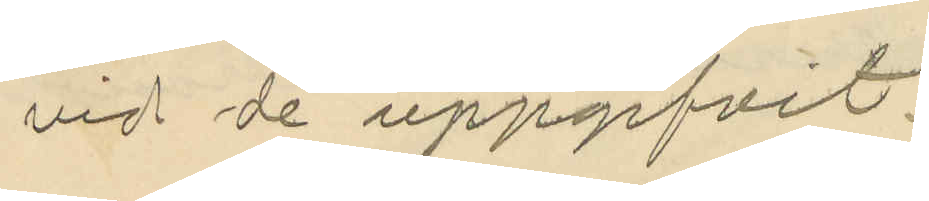vid de uppgifvit:
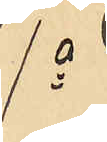1o
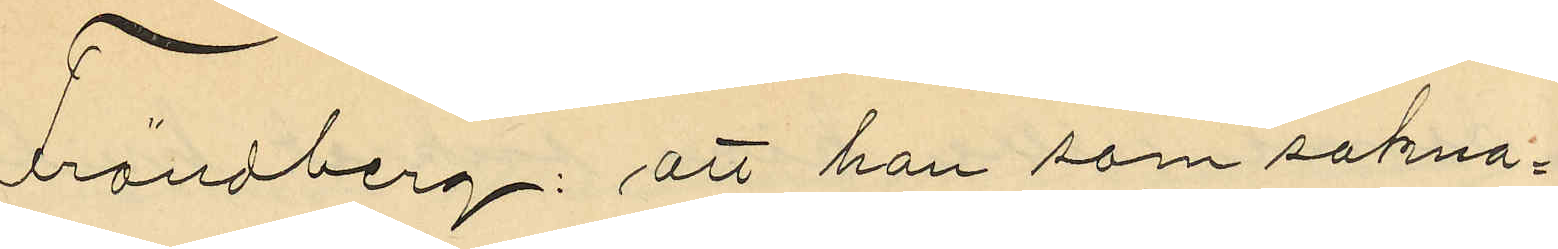Frändberg: att han som sakna¬
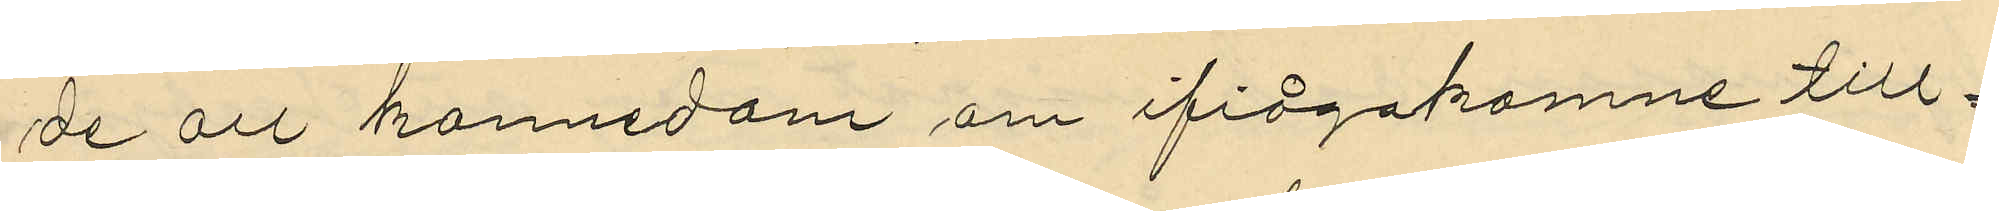de all kannedom om ifrågakomne till¬
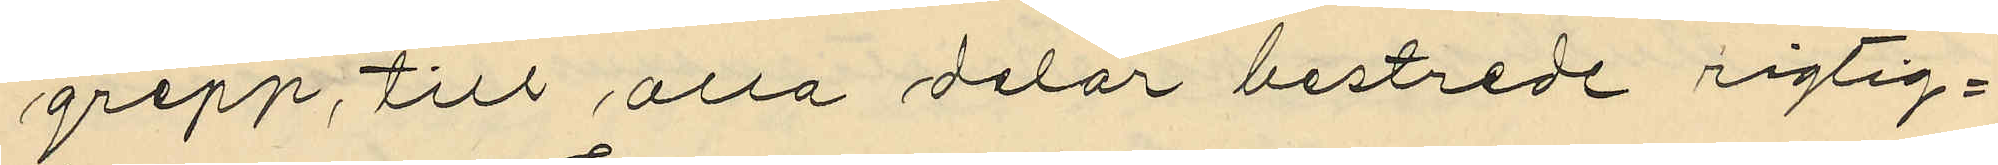grepp, till alla delar bestrede rigtig¬
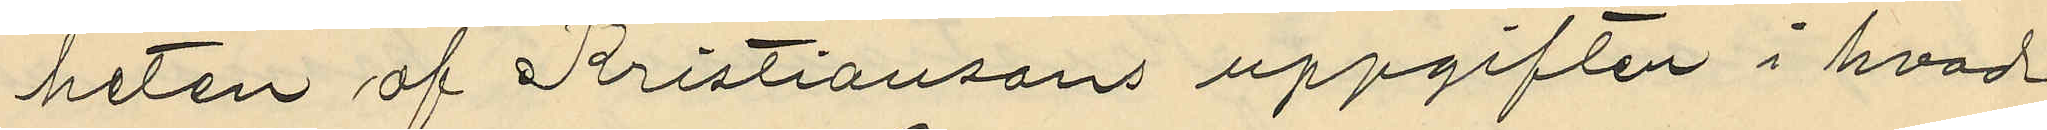heten af Kristiansons uppgiften i hvad
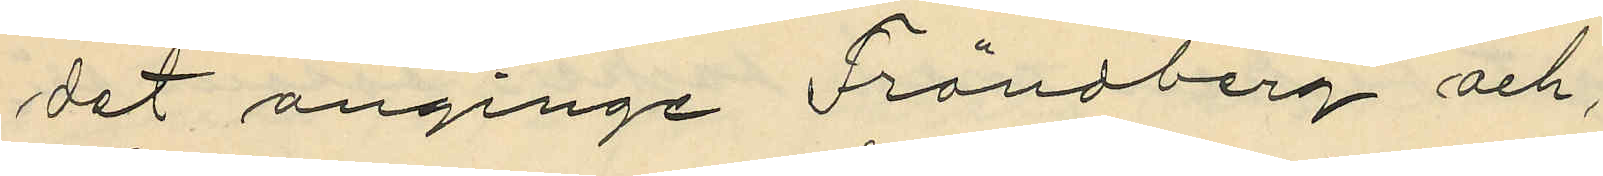det anginge Frändberg och,
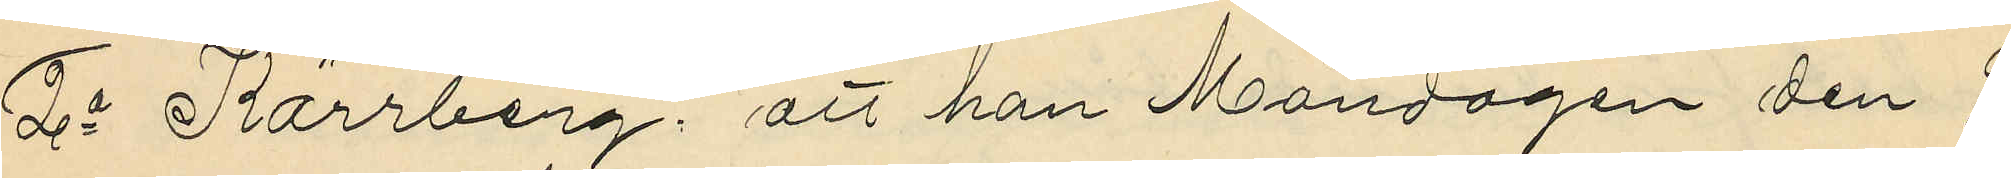2o Kärrberg: att han Måndagen den 9
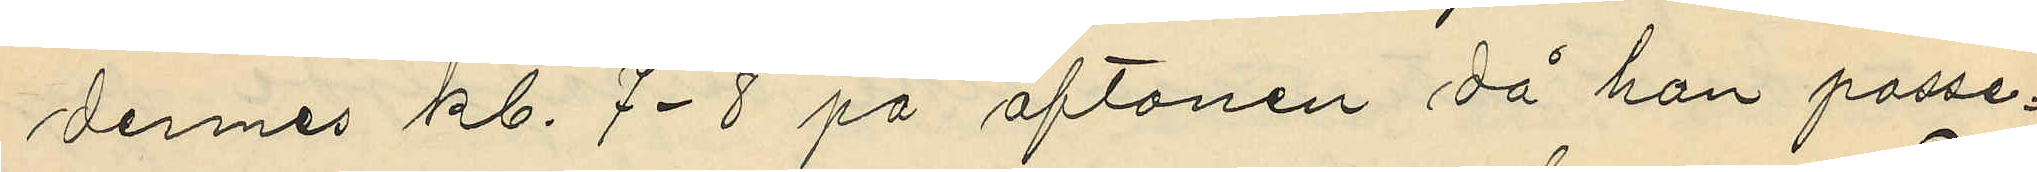dennes kl. 7-8 på aftonen då han passe¬
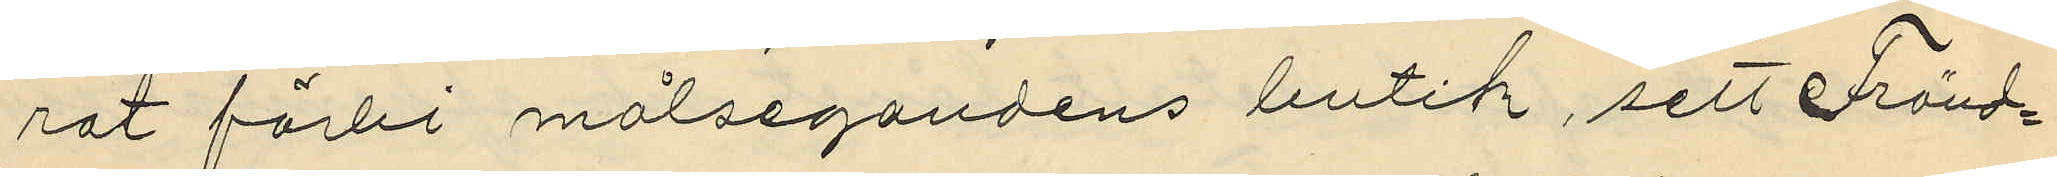rat förbi målsegandens butik, sett Fränd¬
